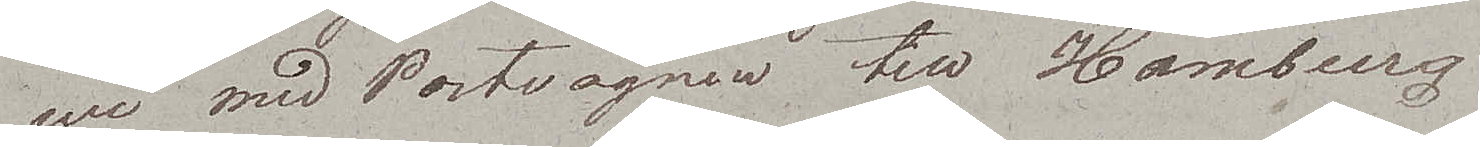wi med Postvagnen till Hamburg.
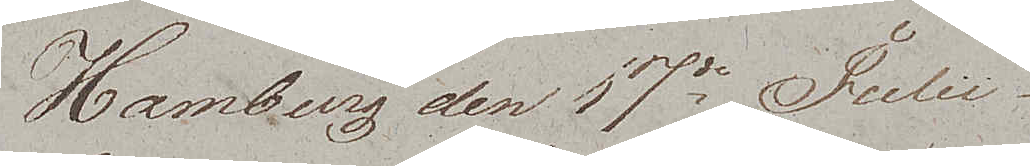Hamburg den 17de Julii
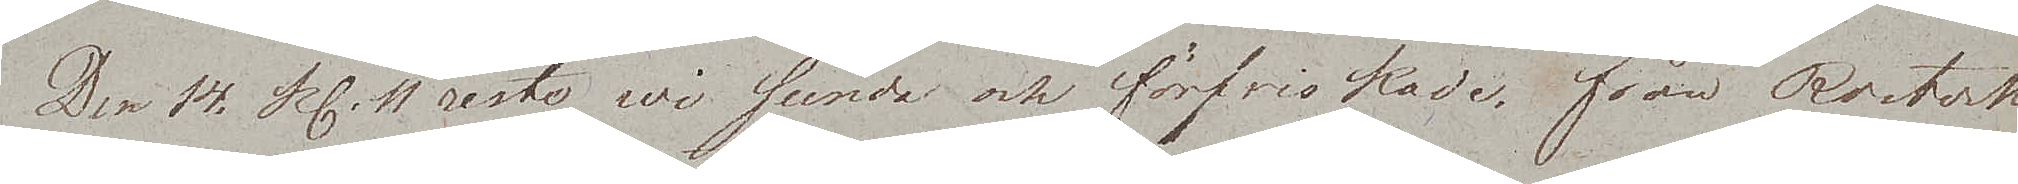Den 14. Kl. 11 reste wi sunda och förfriskade, från Rostock
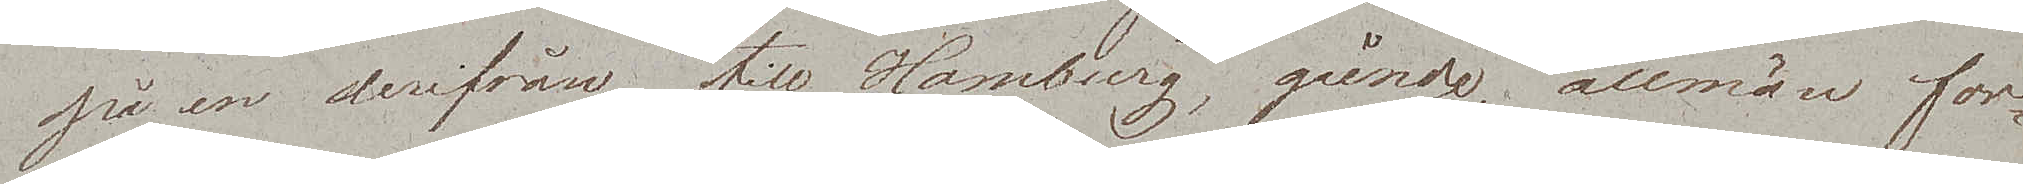på en derifrån till Hamburg, gående, allmän for¬
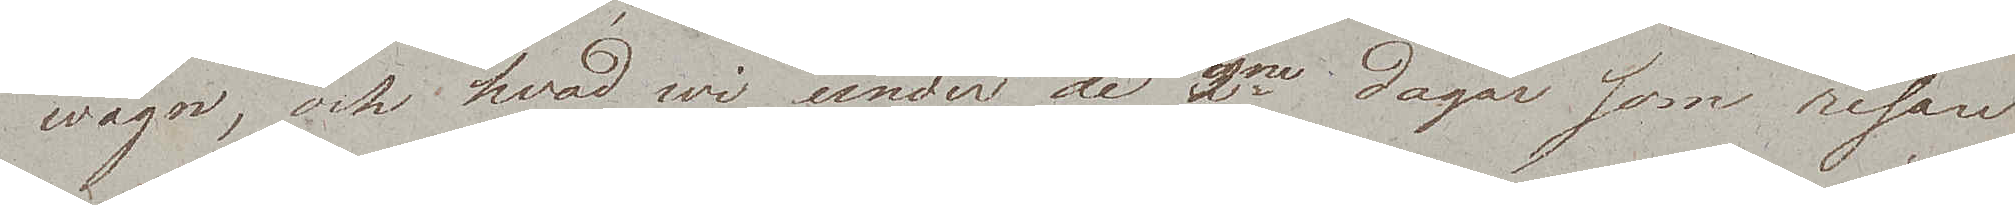wagn, och hvad wi under de 2ne dagar som resan
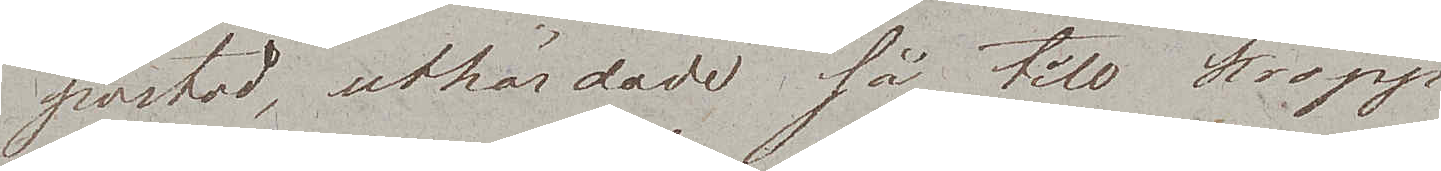bestod, uthärdade så till kropp
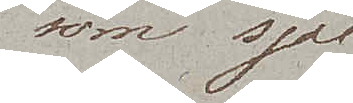som själ
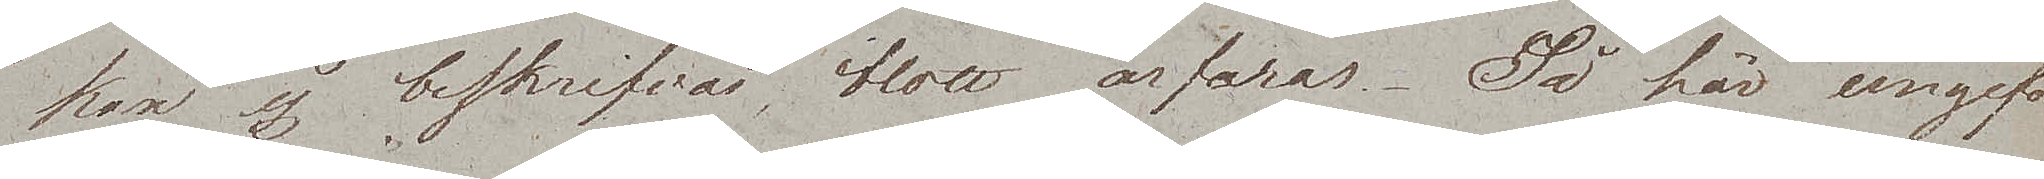kan ej beskrifvas, blott ärfaras. Så här ungefär
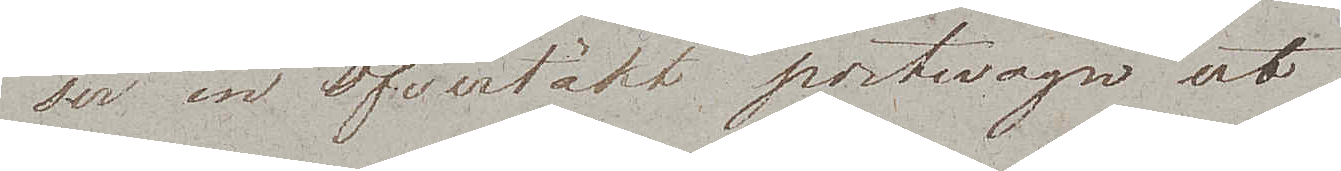ser en öfvertäkt postwagn ut.
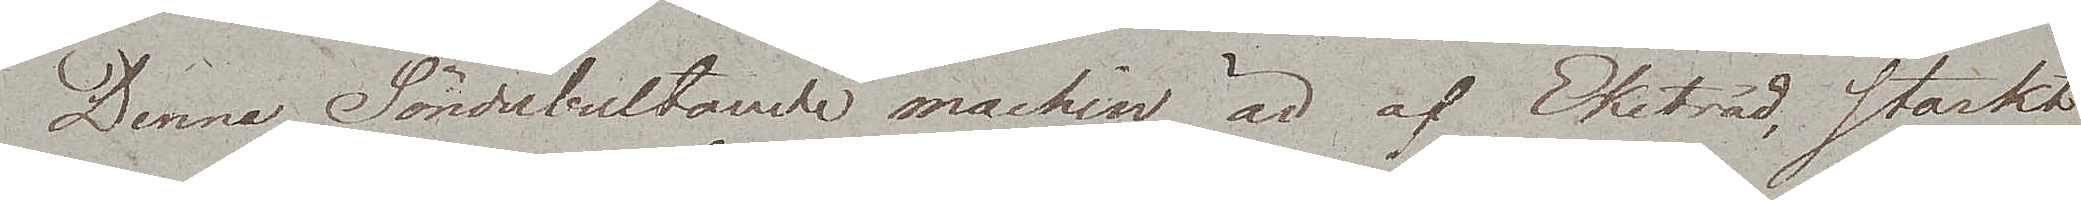Denna Sönderbultande maskin är af Eketräd, starkt
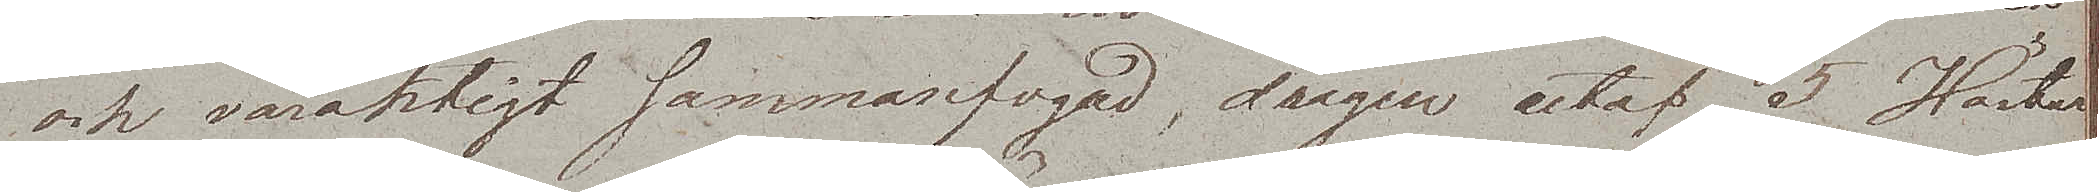och varaktigt sammanfogad, dragen utaf 5 Hästar,
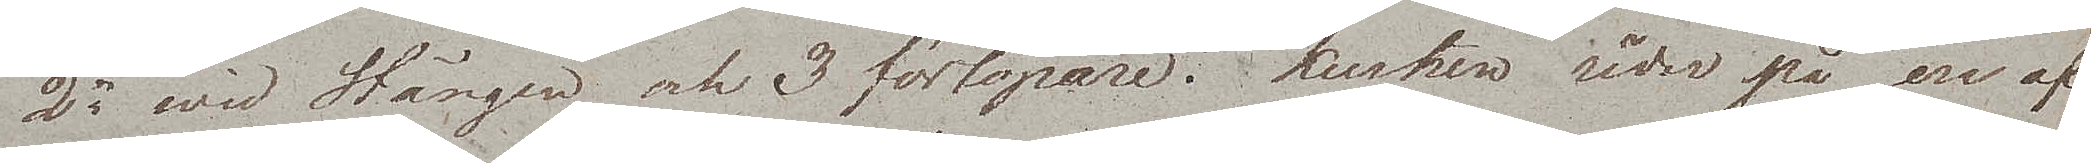2ne wid Stången och 3 förlöpare. Kusken rider på en af
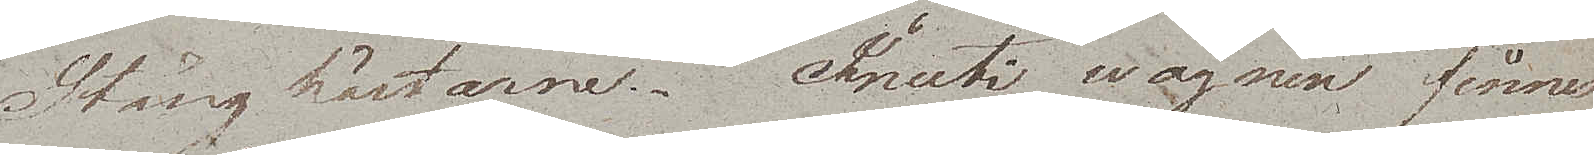Stånghästarne. Inuti wagnen finnes
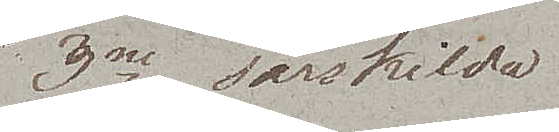3ne särskilda
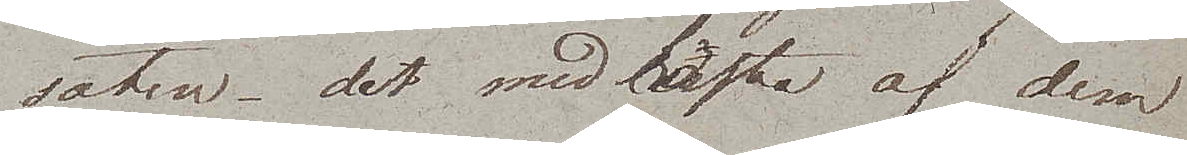säten, det medlersta af dem
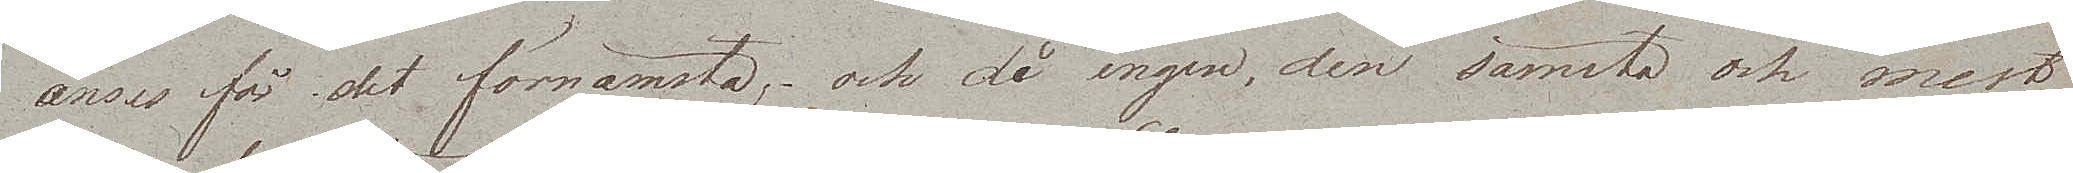anses för det förnämsta; och då ingen, den sämsta och mest
